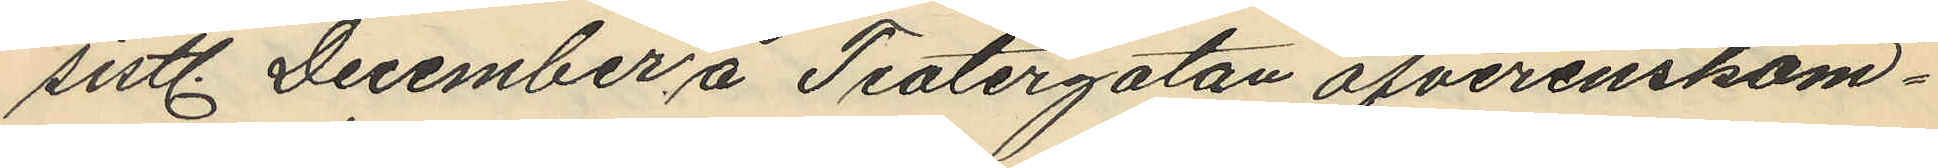sistl. December å Teatergatan öfverenskom¬
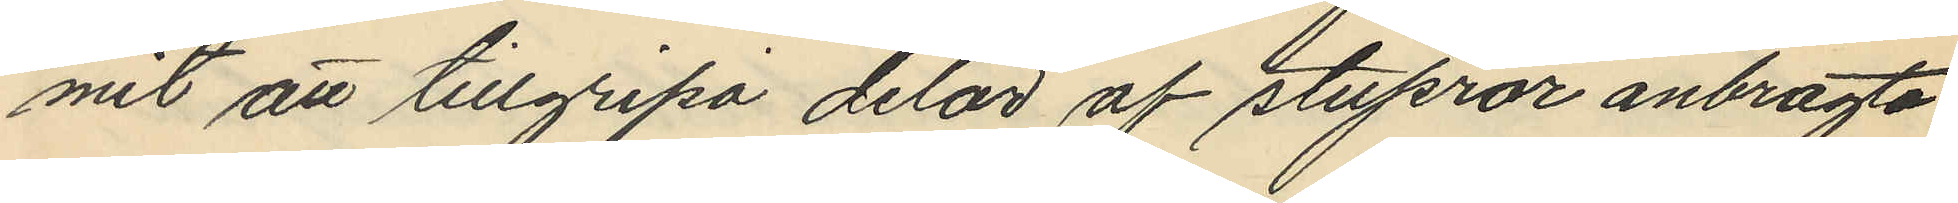mit att tillgripa delar af stuprör anbragte
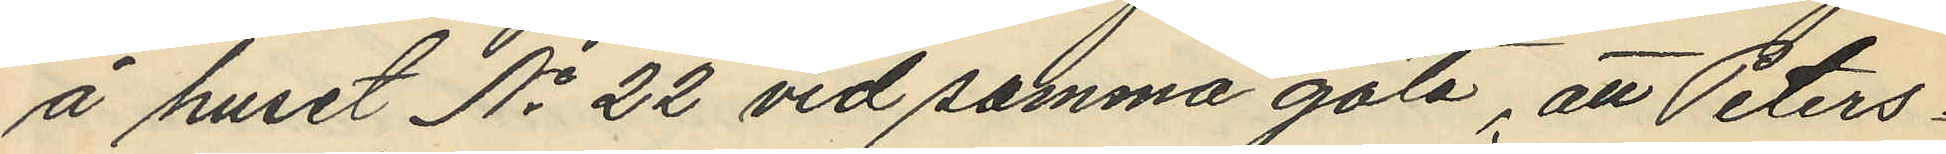å huset No 22 vid samma gata, att Peters¬
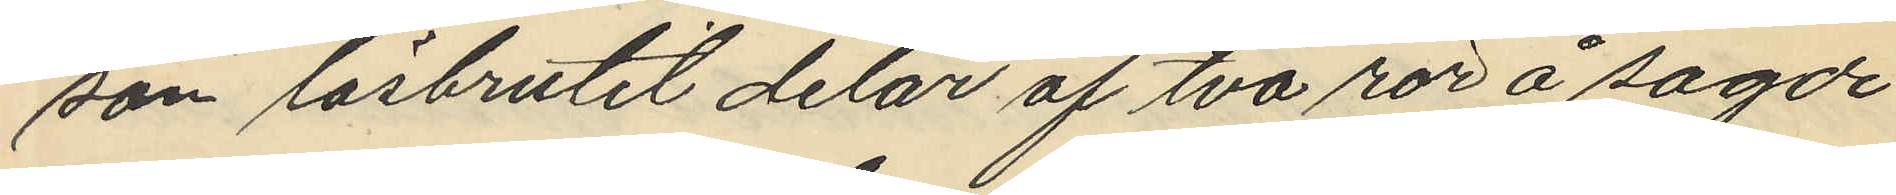son lösbrutit delar af två rör å sagde
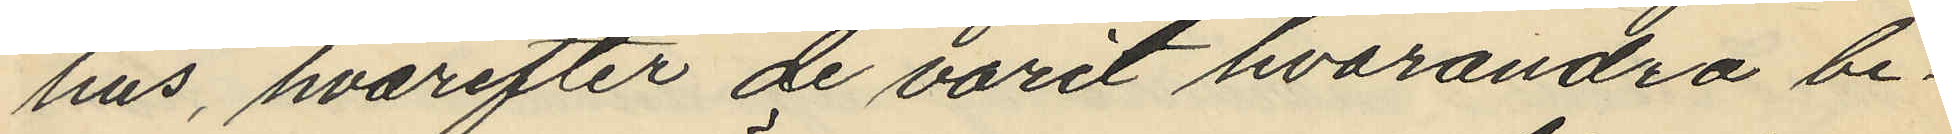hus, hvarefter de varit hvarandra be¬
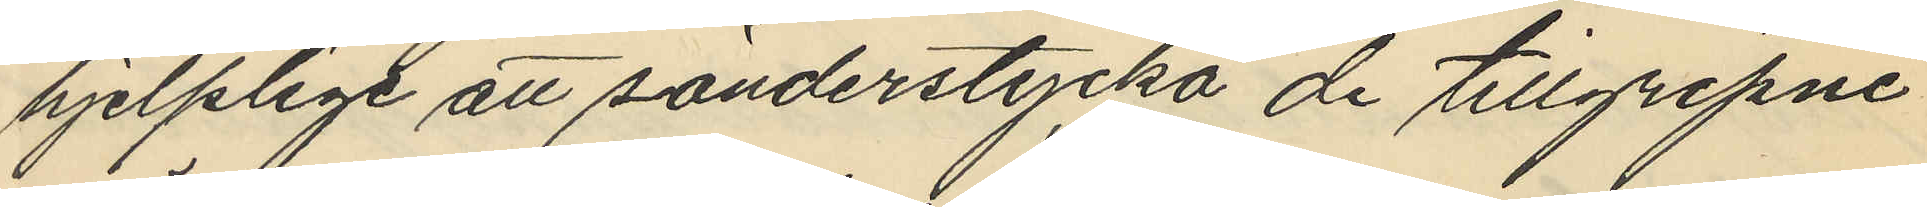hjelplige att sönderstycka de tillgripne
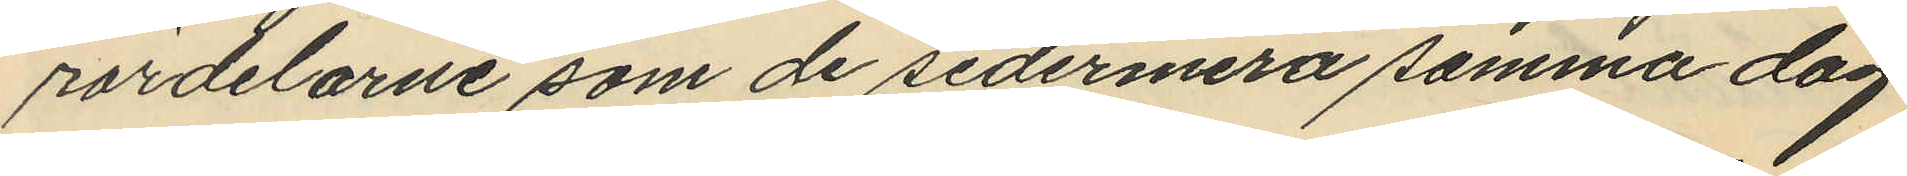rördelarne som de sedermera samma dag
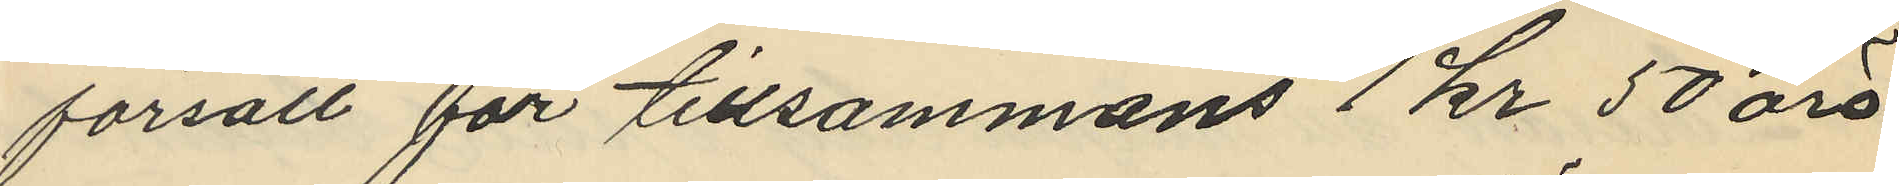försålt för tillsammans 1 kr 50 öre
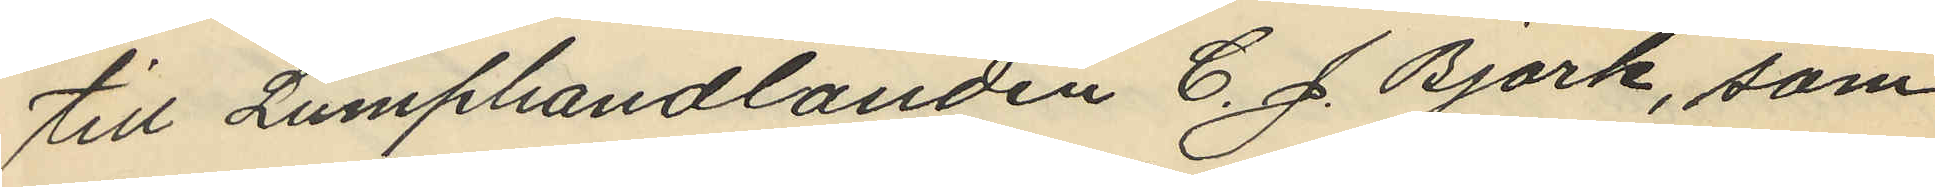till Lumphandlanden C. J. Björk, som
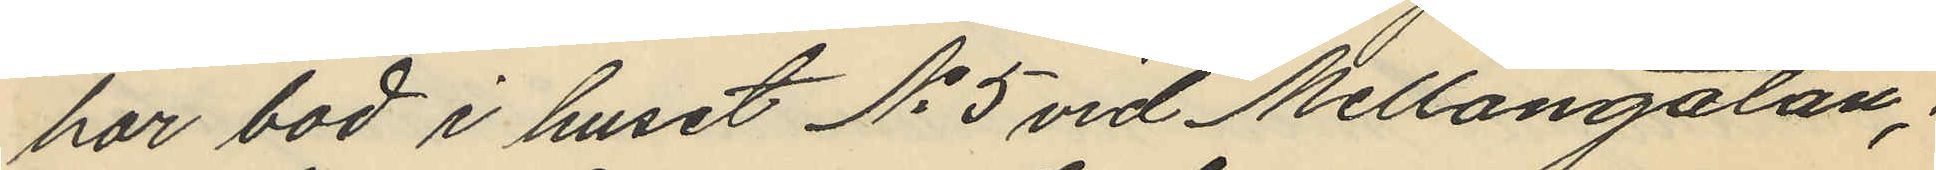har bod i huset No 5 vid Mellangatan;
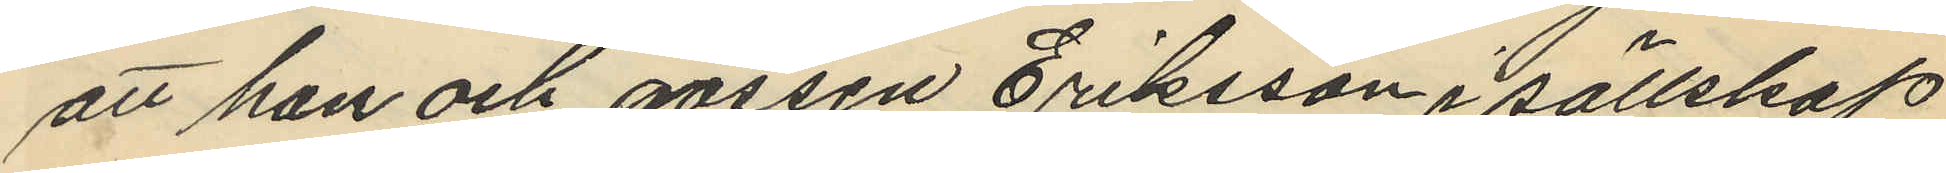att han och gossen Eriksson i sällskap
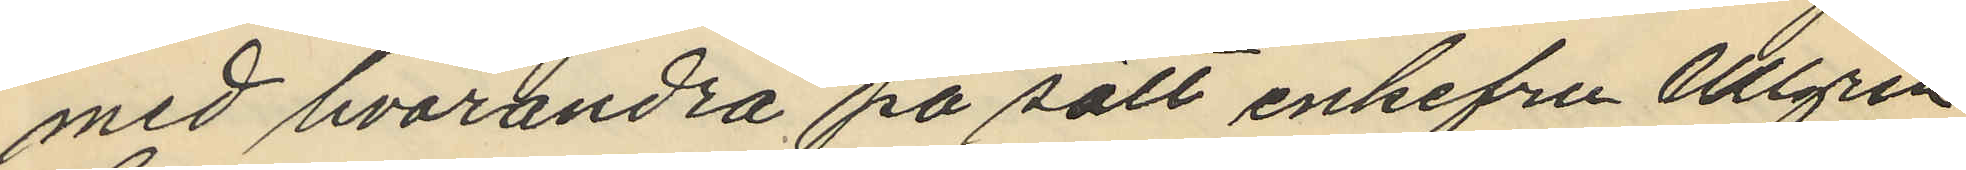med hvarandra på sätt enkefru Ullgren,
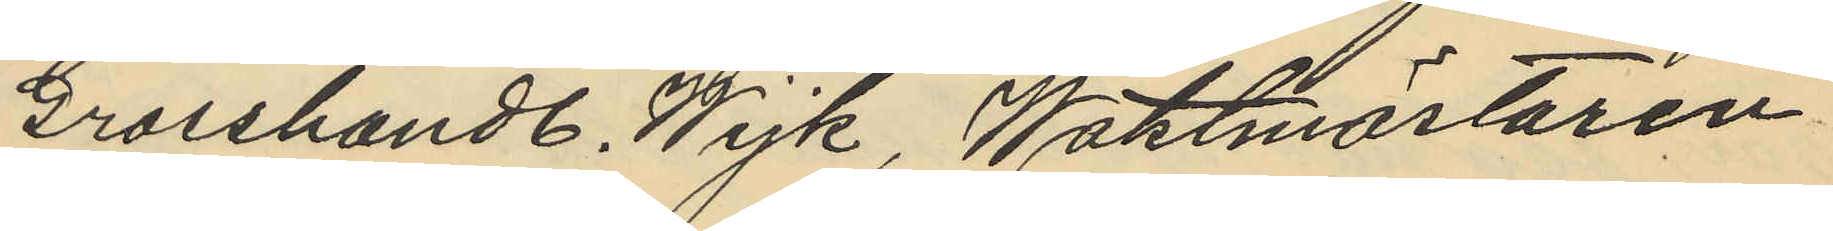Grosshandl. Wijk, Waktmästaren
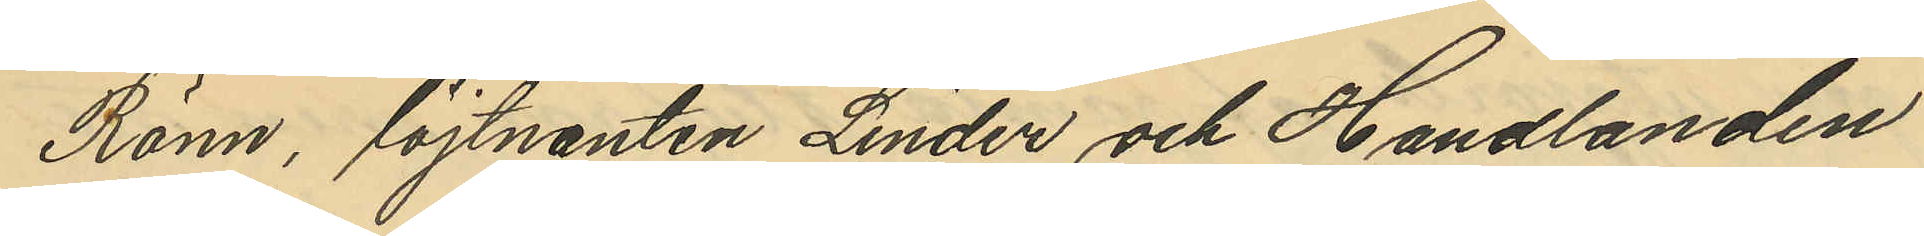Rönn, löjtnanten Linder och Handlanden
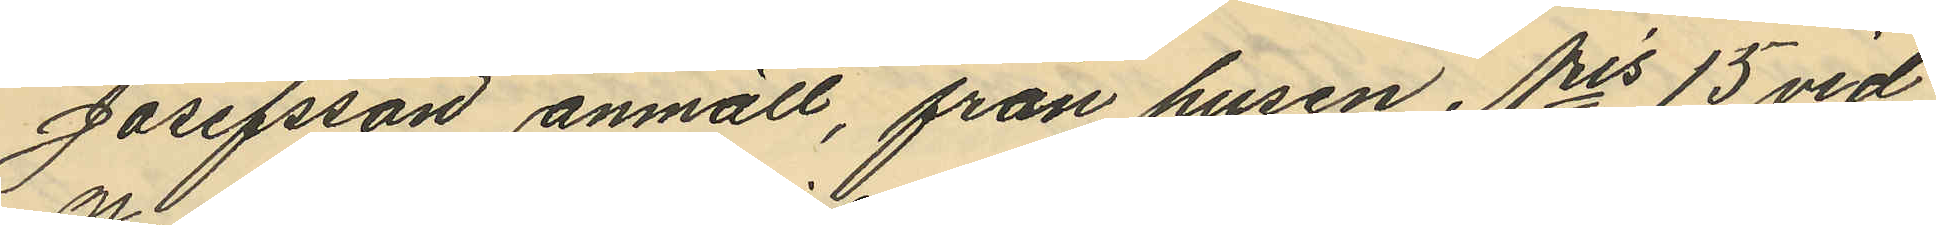Josefsson anmält, från husen Nris 15 vid
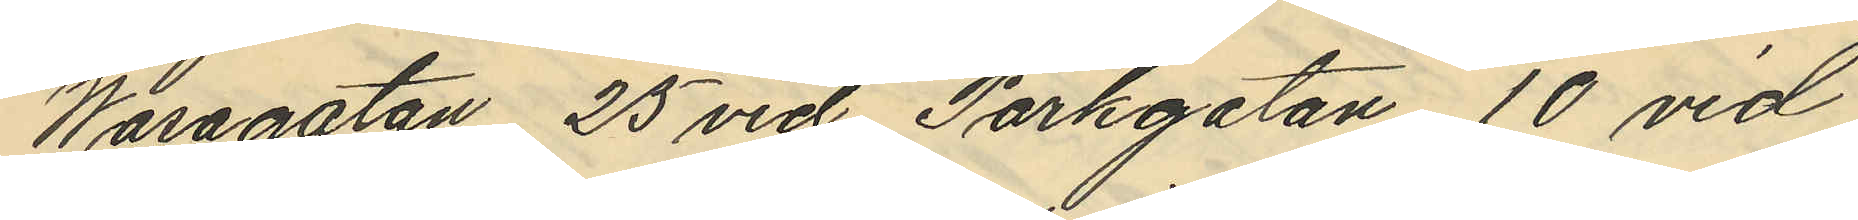Wasagatan 25 vid Parkgatan, 10 vid
